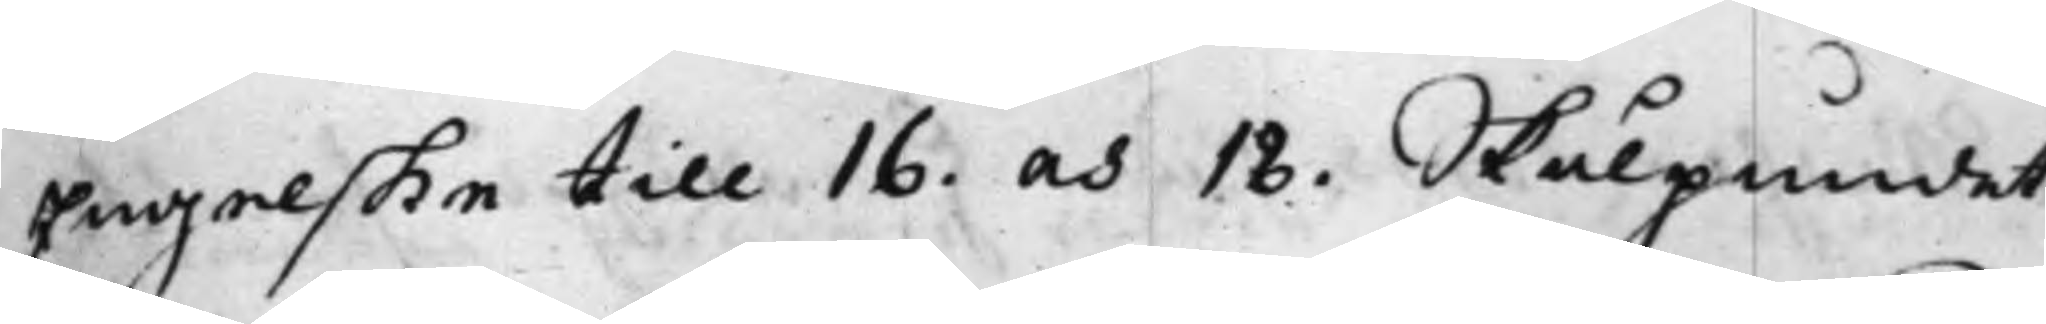Engelske till 16. och 18. Skålpundet.
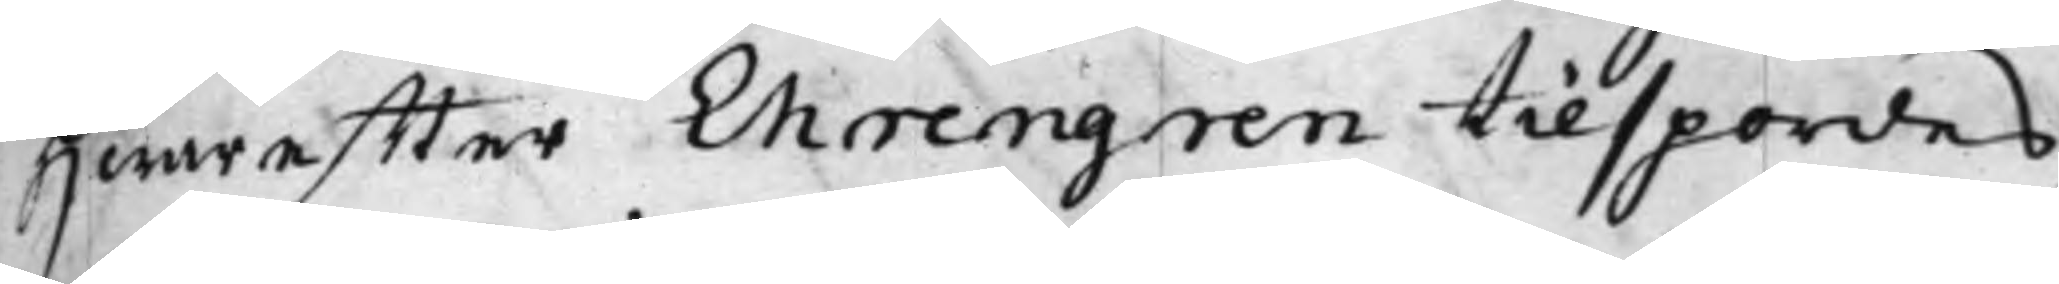Hwareffter Ehrengren tillspordes,
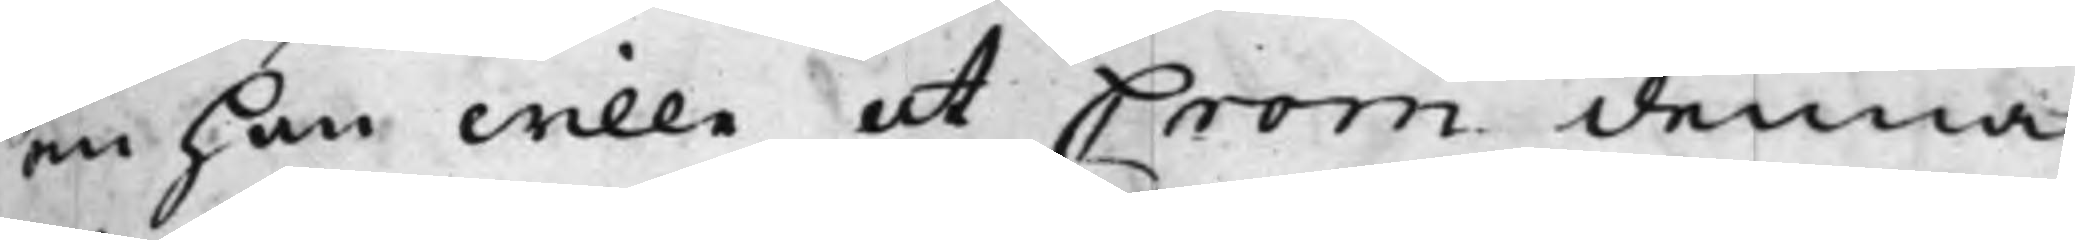om han wille at Crom denna
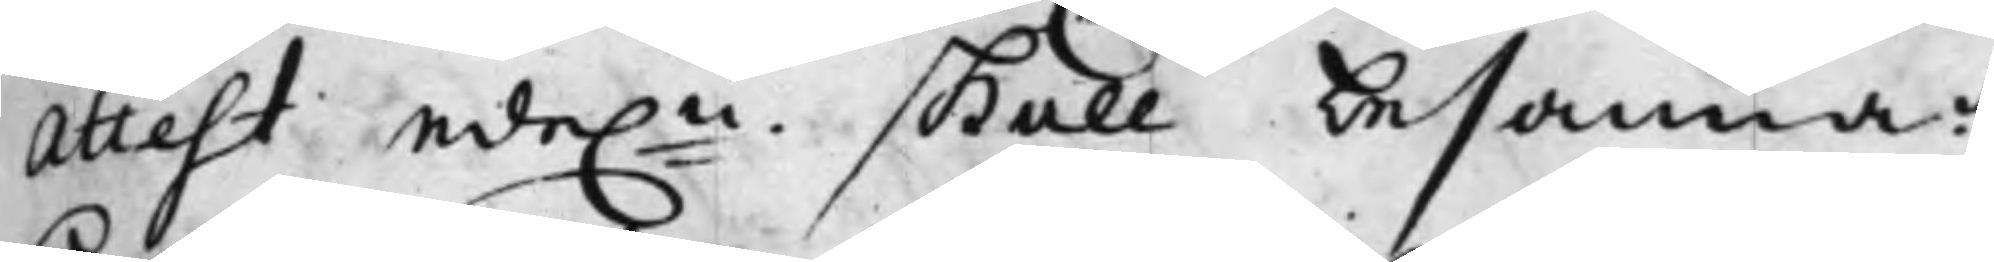Attest ede.n skall besanna,
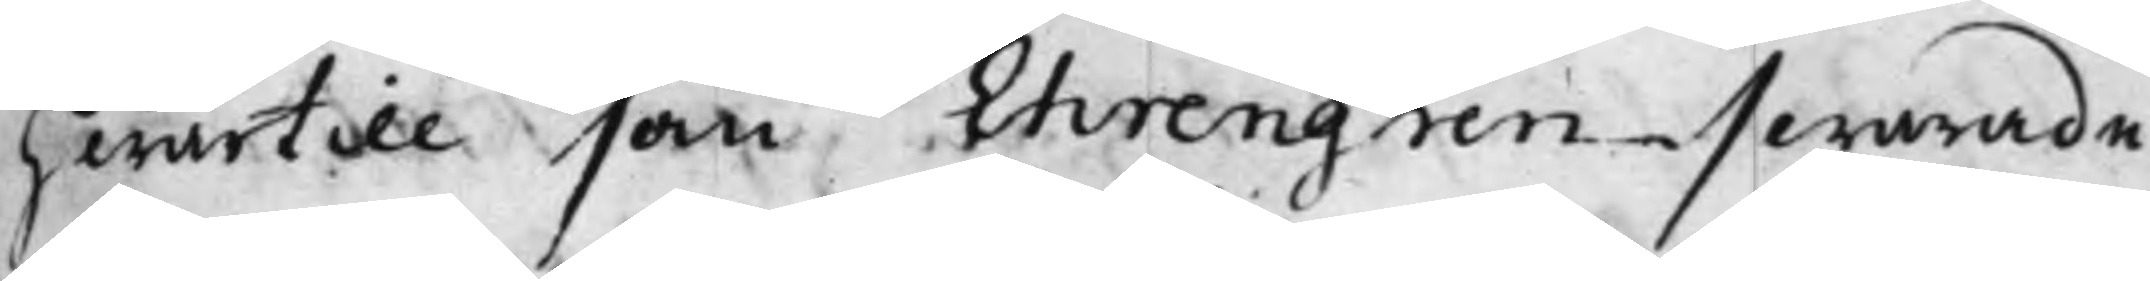hwartill som Ehrengren swarade
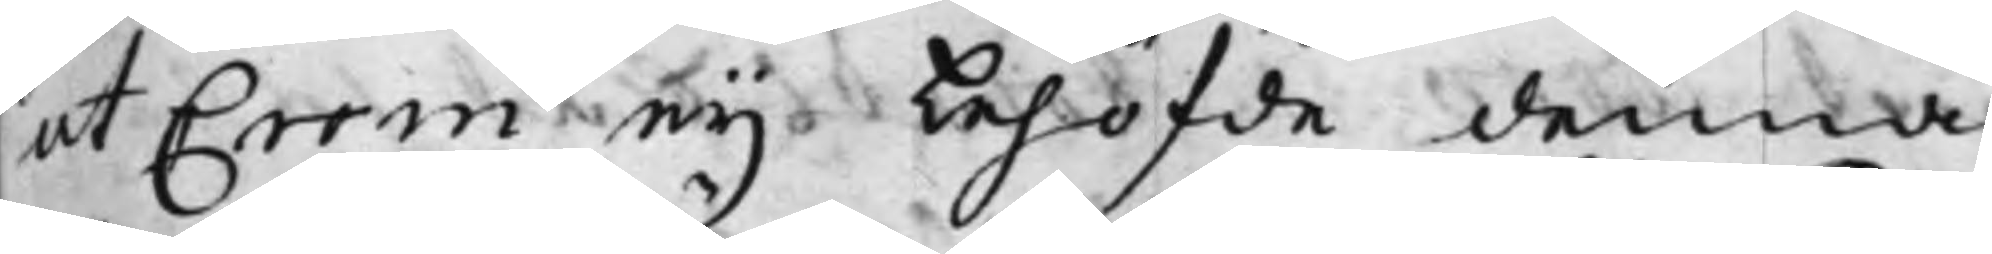at Crom ey behöfde denna
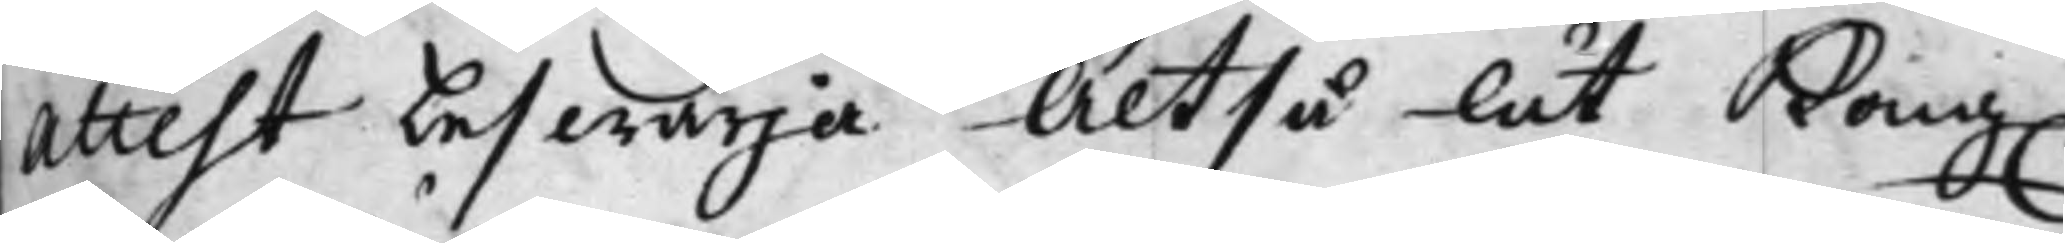Attest beswärja Altså lät Kong.
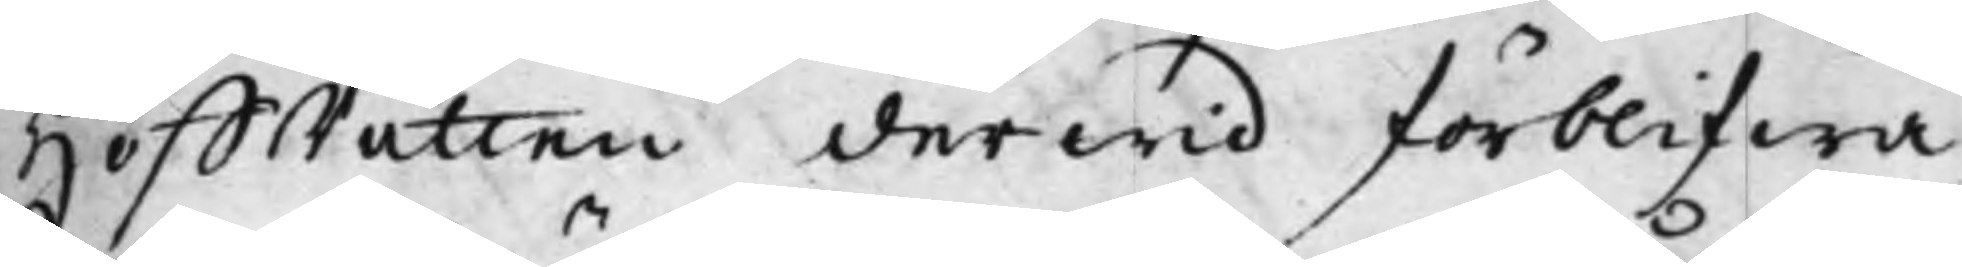HoffRätten derwid förblifwa.
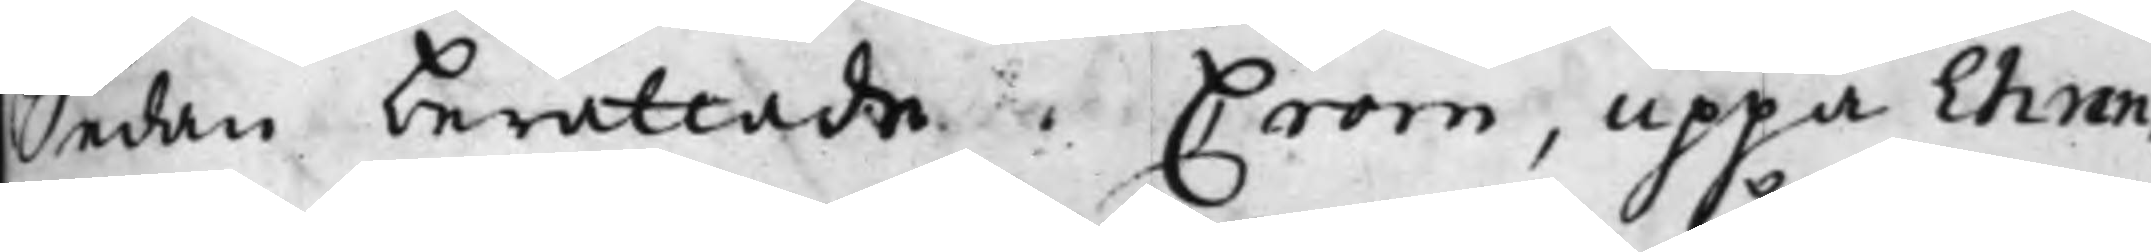Sedan berättade Crom, uppå Ehren¬
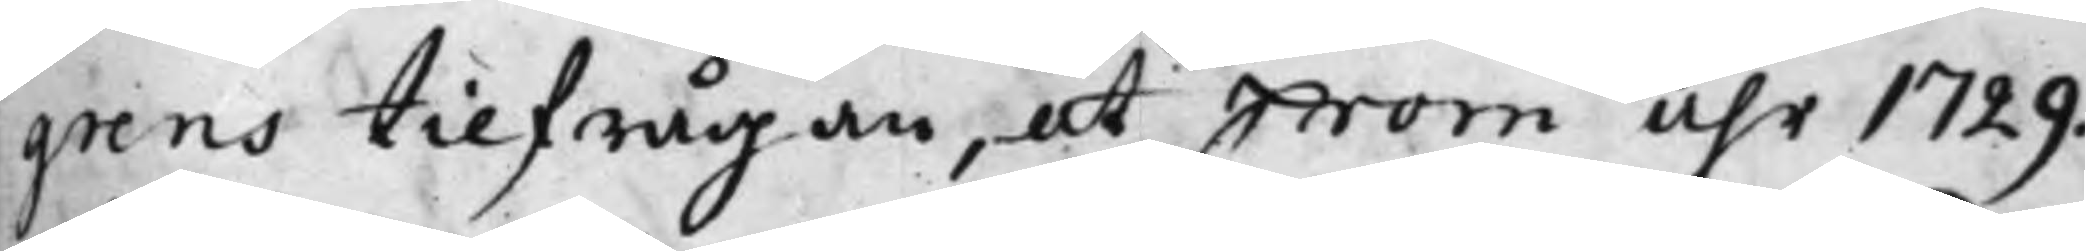grens tilfrågan, at Crom åhr 1729.
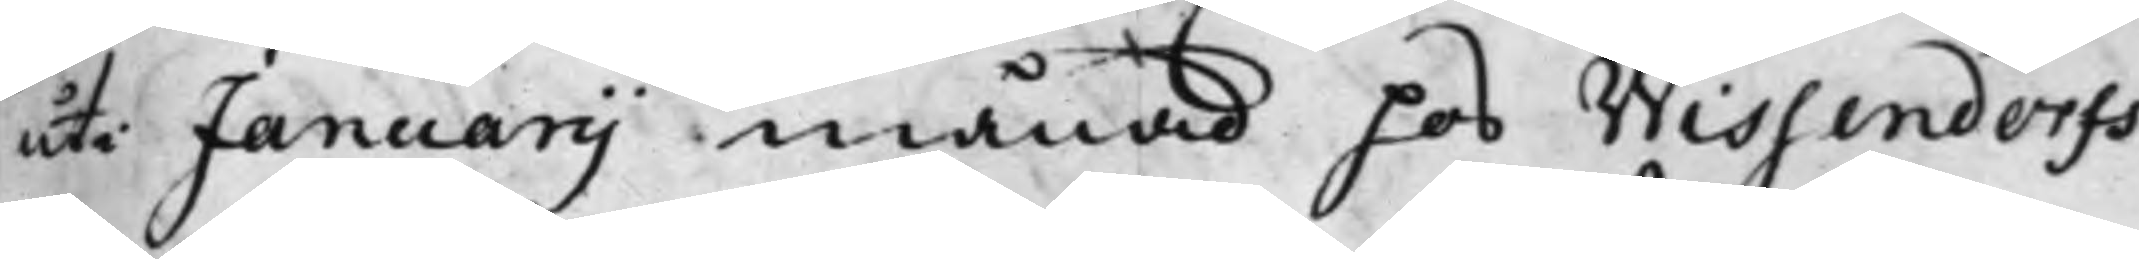uti Januarij månad hos Wissendorff
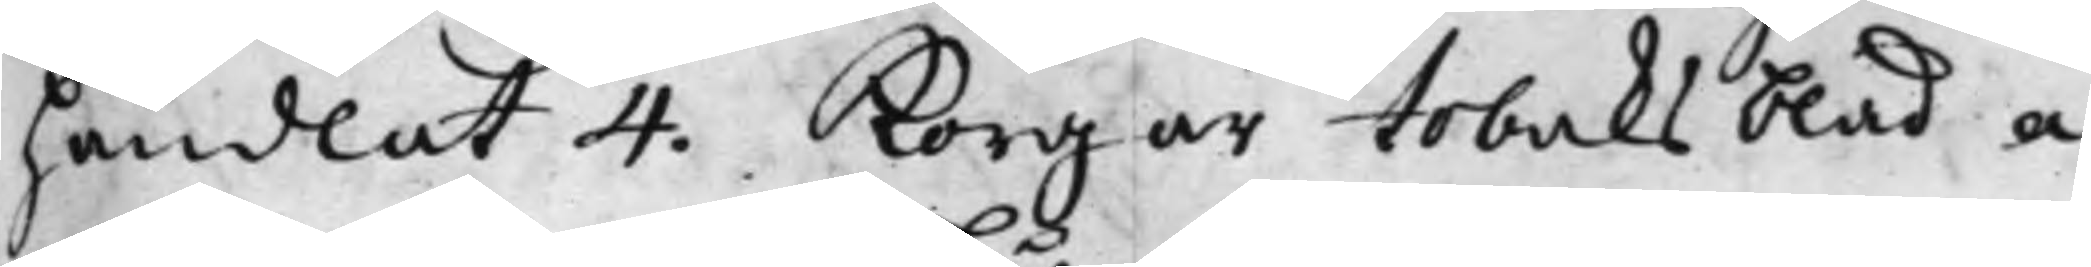handlat 4. Korgar Tobaksblad a
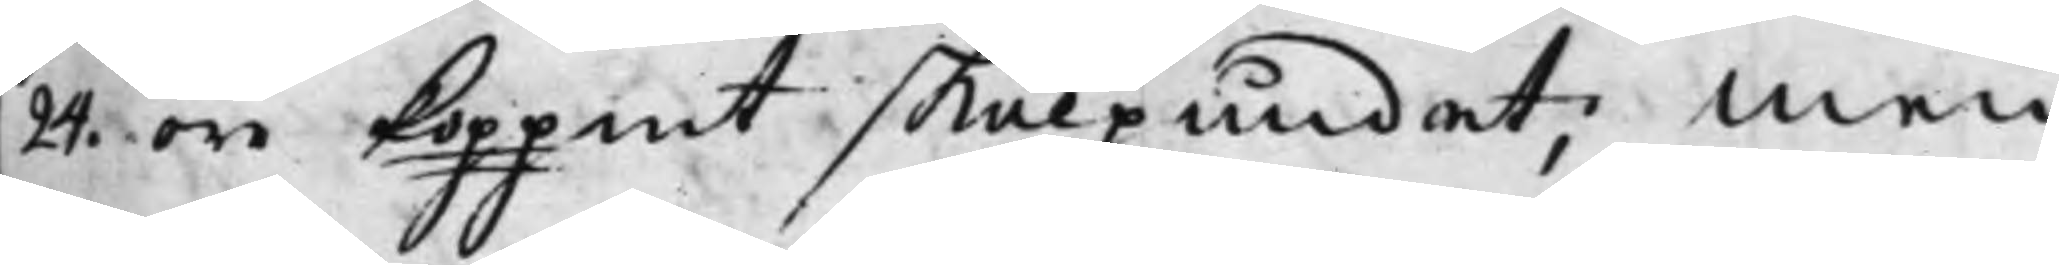24 öre Koppmt skålpundet; Men
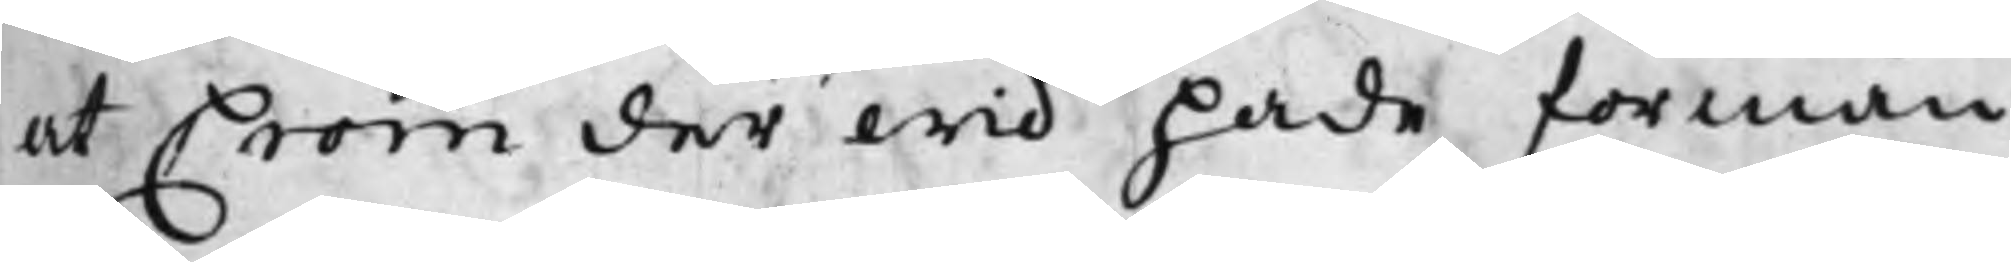at Crom derwid hade förmån
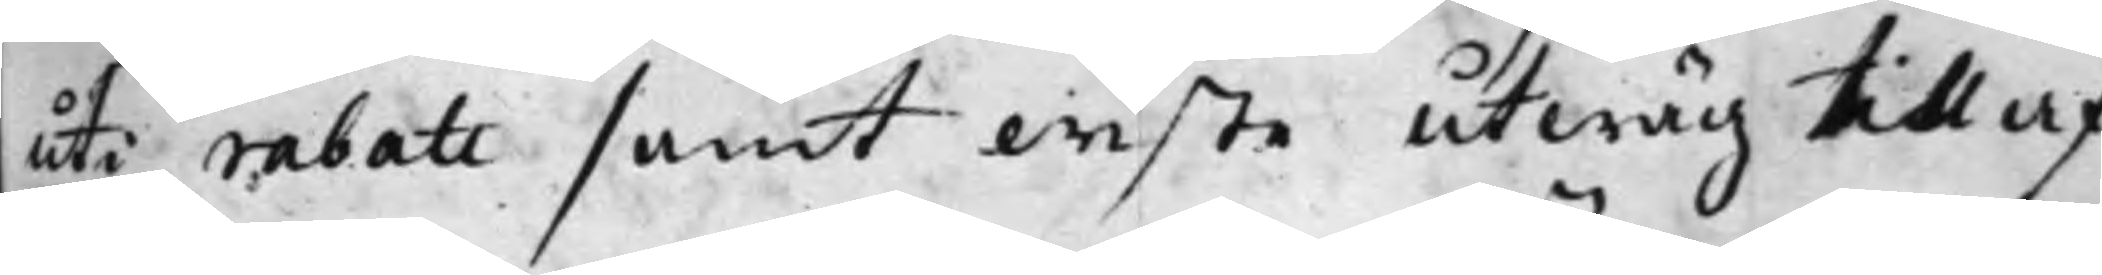uti rabatt samt wiste utwäg till af¬
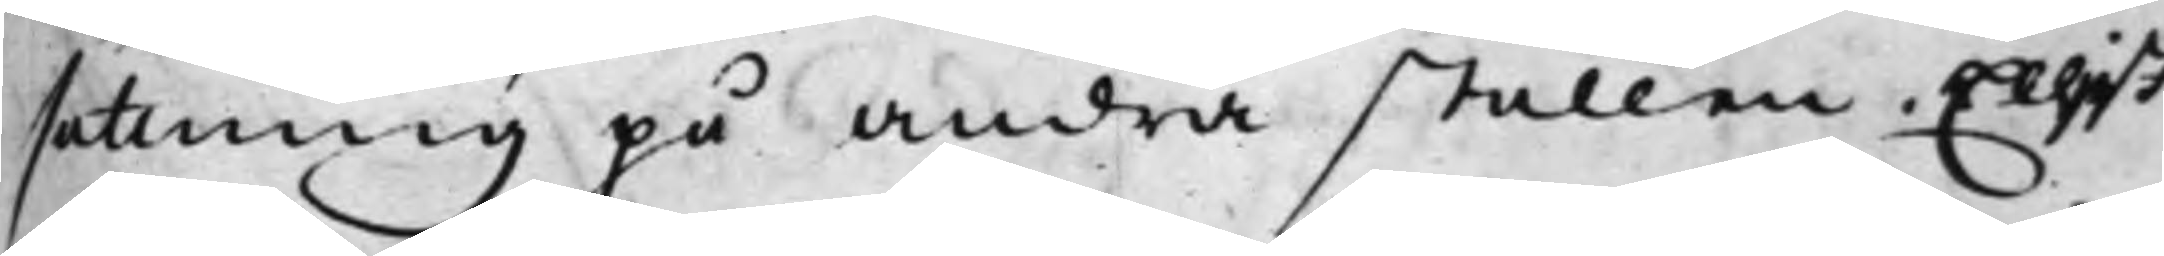sättning på andra ställen, Eljest
